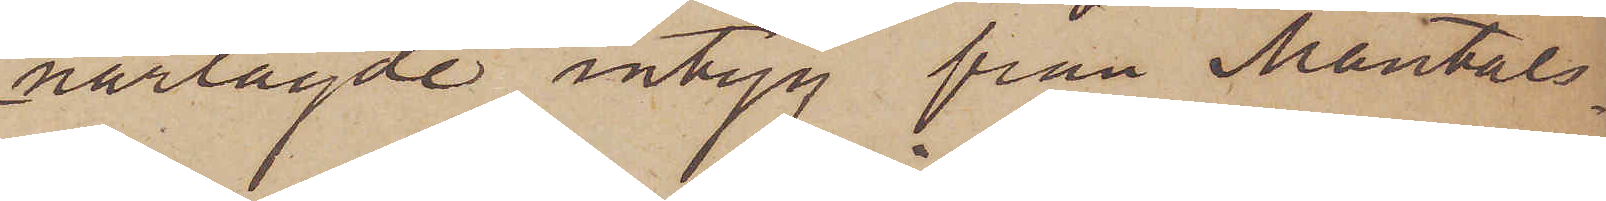närlagde intyg från Mantals¬
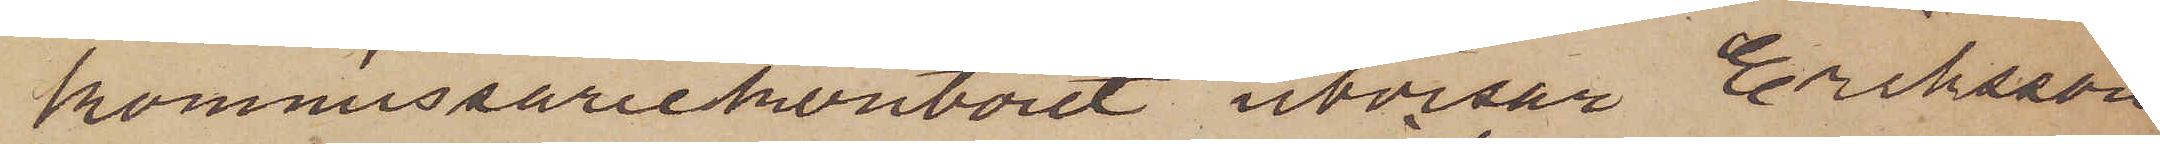kommissariekontoret utvisar Eriksson
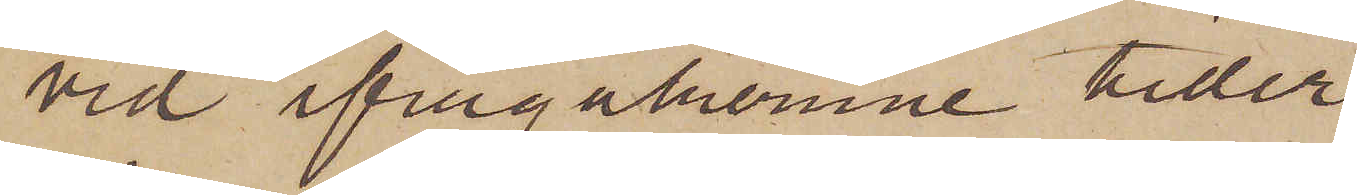vid ifrågakomne tider
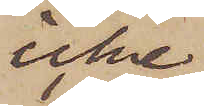icke
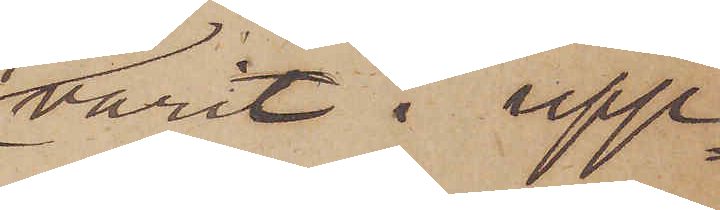varit i upp¬
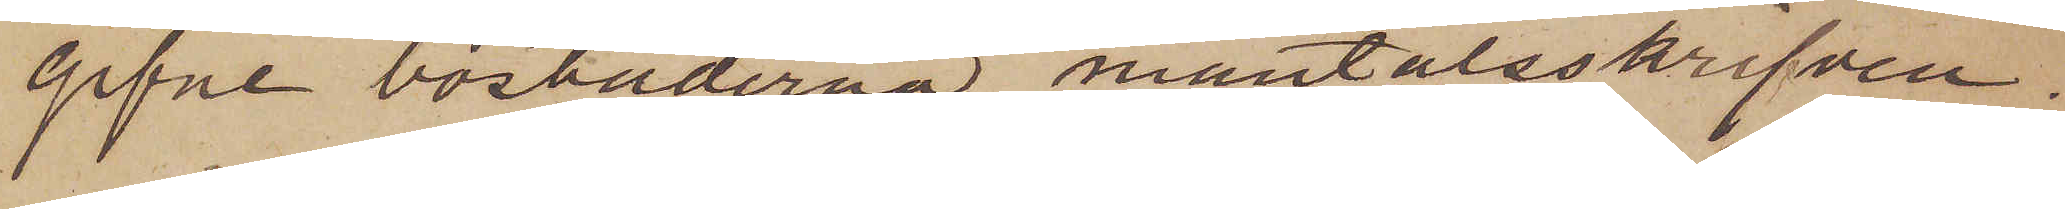gifne bostäderna mantalsskrifven.
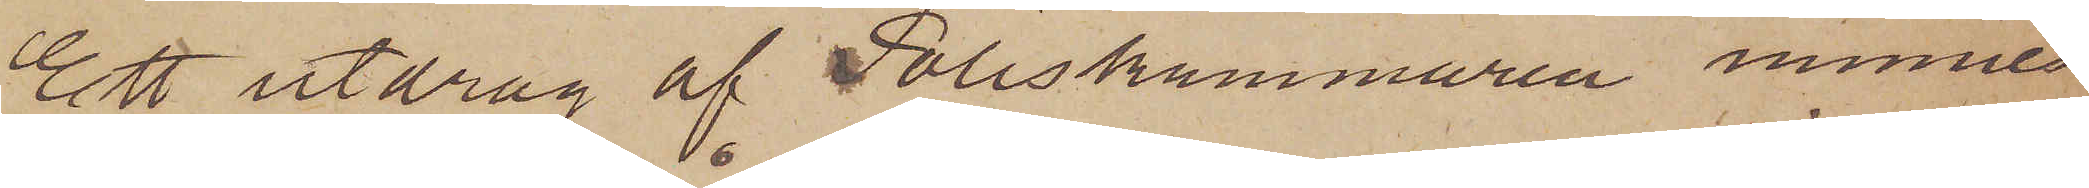Ett utdrag af Poliskammaren minne¬
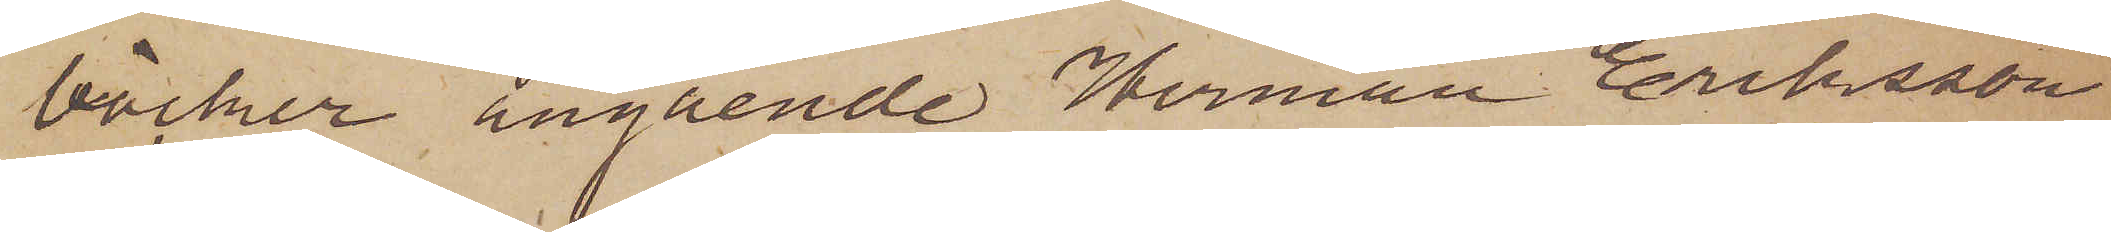böcker angående Herman Eriksson
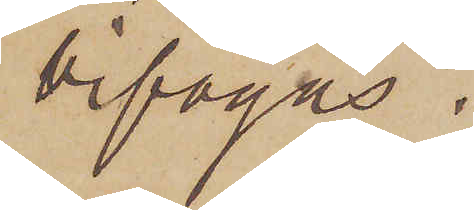bifogas.
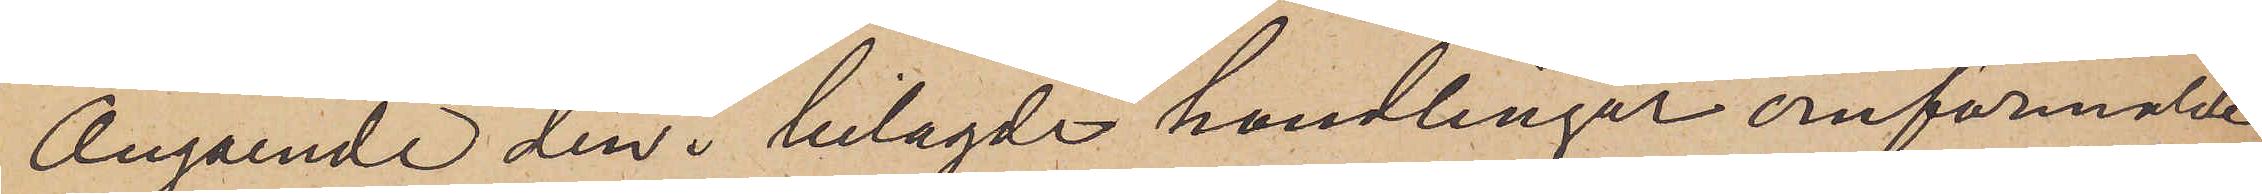Angående den i bilagde handlingar omförmälde
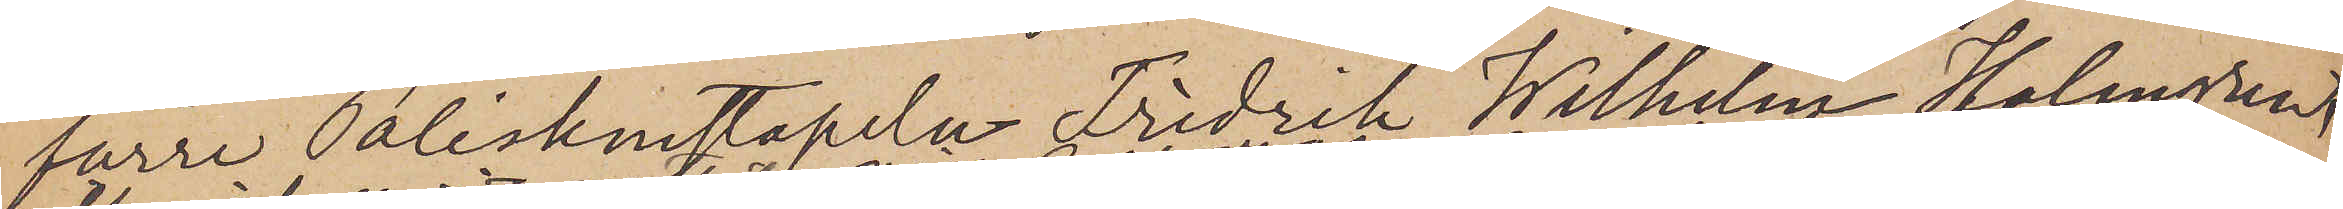förre Poliskonstapeln Fredrik Wilhelm Holmgren,
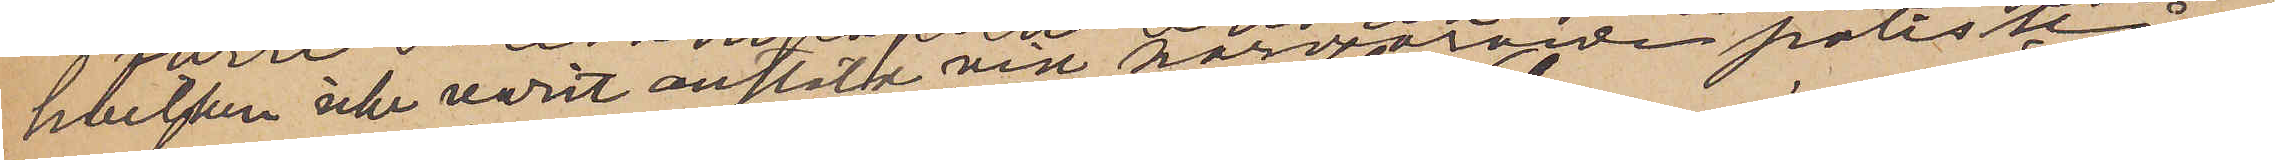hvilken icke varit anstäld vid härvarande poliskår,
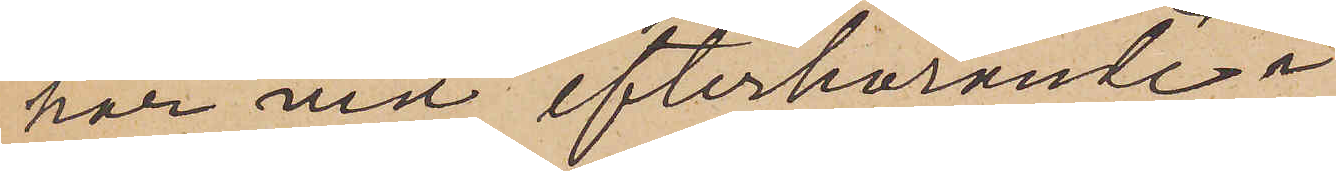har vid efterhörande i
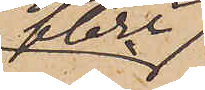flere
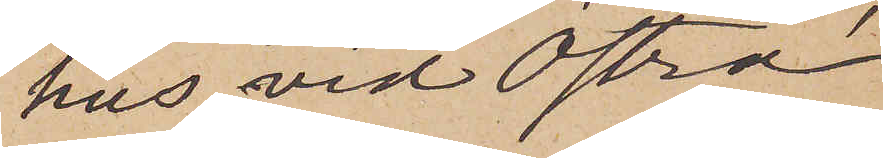hus vid Östra
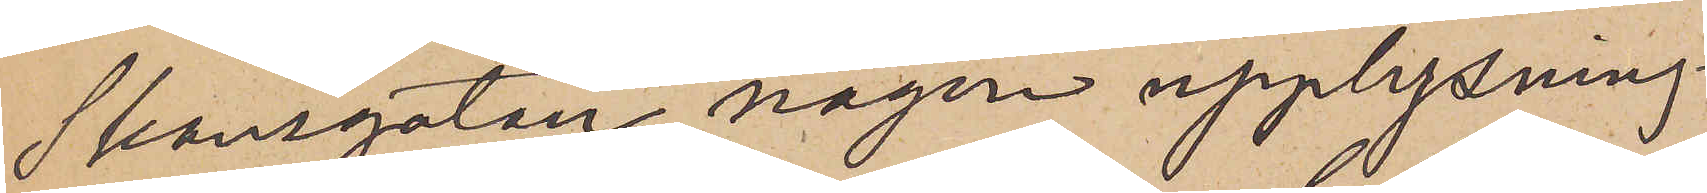Skansgatan någon upplysning
